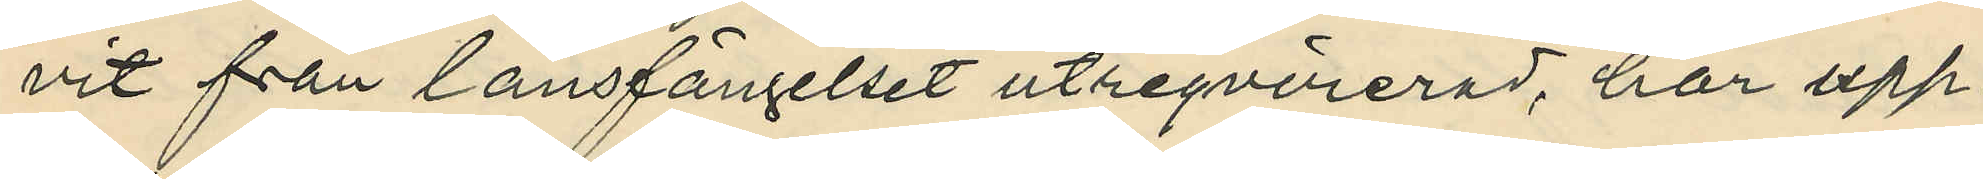vit från länsfängelset utreqvirerad, har upp¬
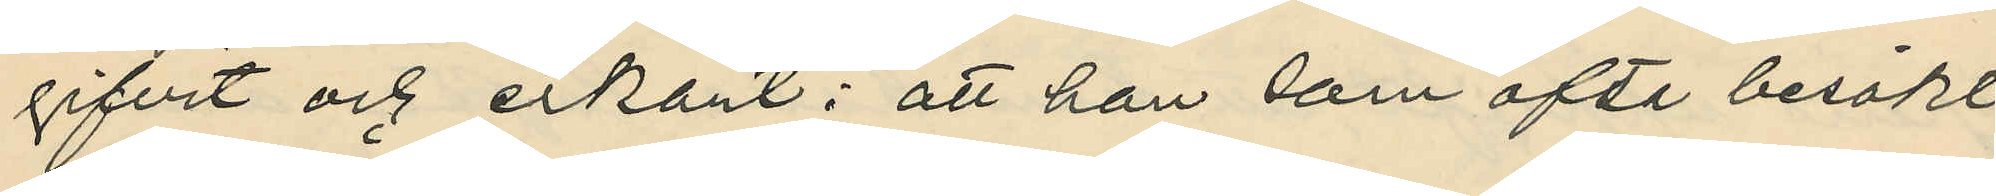gifvit och erkänt; att han som ofta besökt
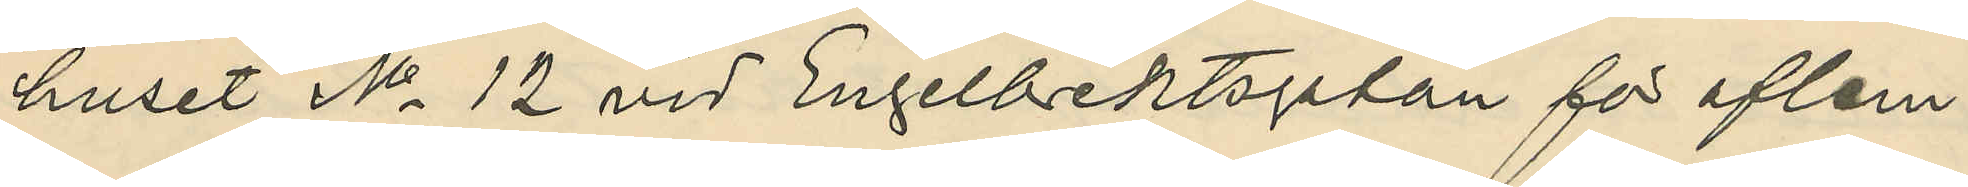huset No 12 vid Engelbrektsgatan för aflem¬
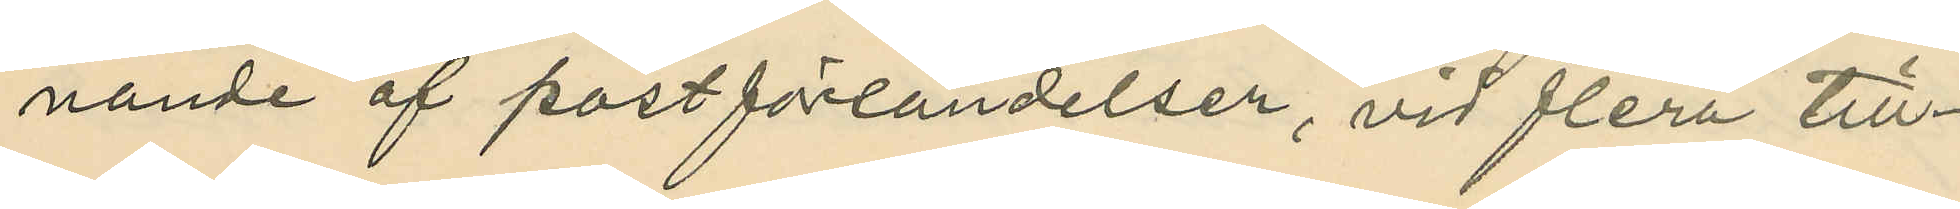nande af postförsändelser, vid flera till¬
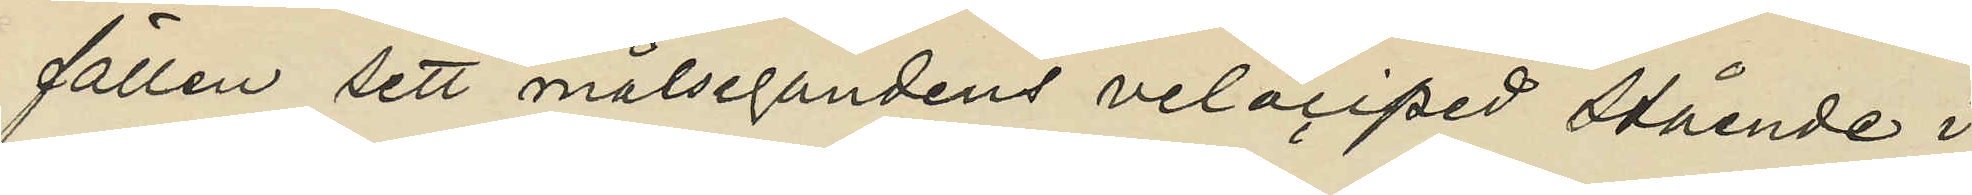fällen sett målsegandens velociped stående i
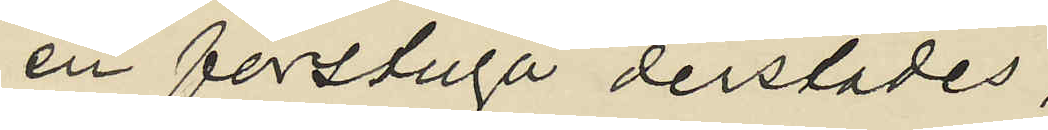en förstuga derstädes;
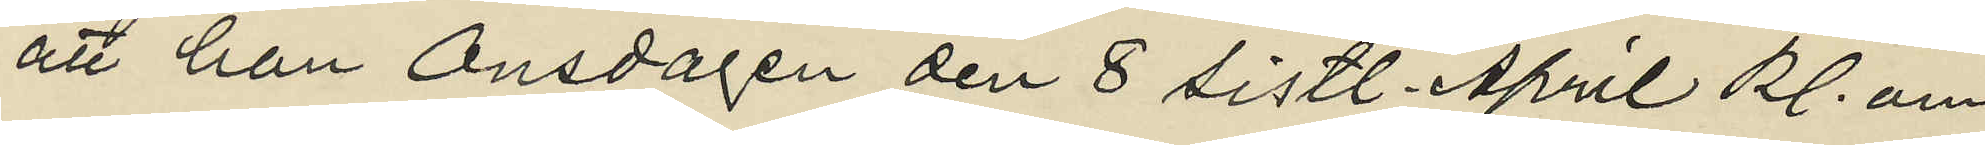att han Onsdagen den 8 sistl. April kl. om¬
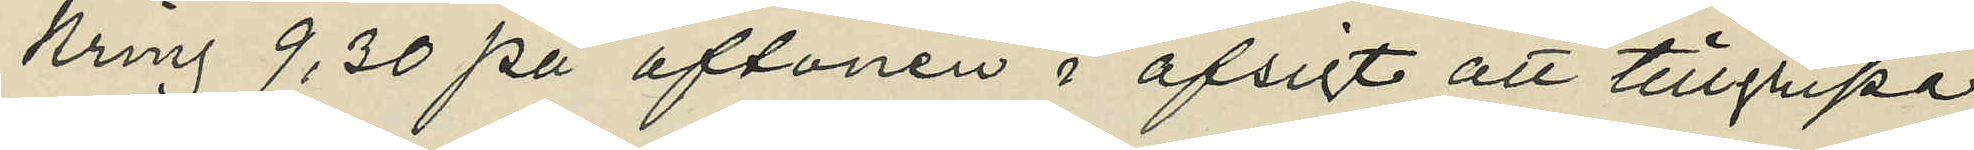kring 9.30 på aftonen i afsigt att tillgripa
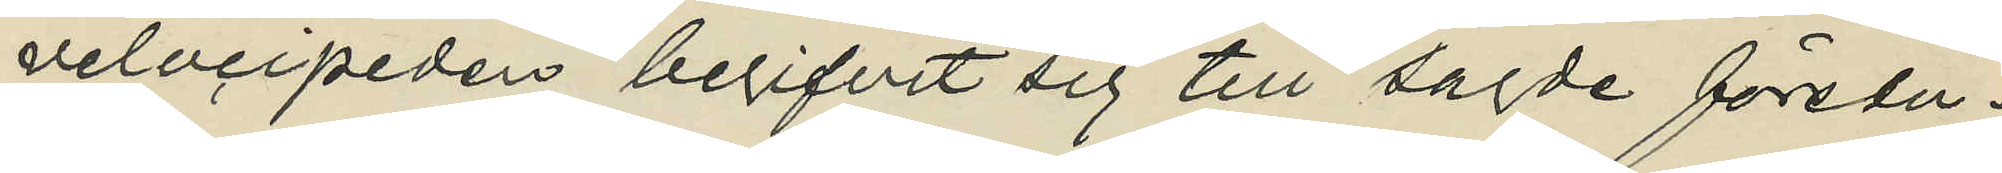velocipeden begifvit sig till sagde förstu¬
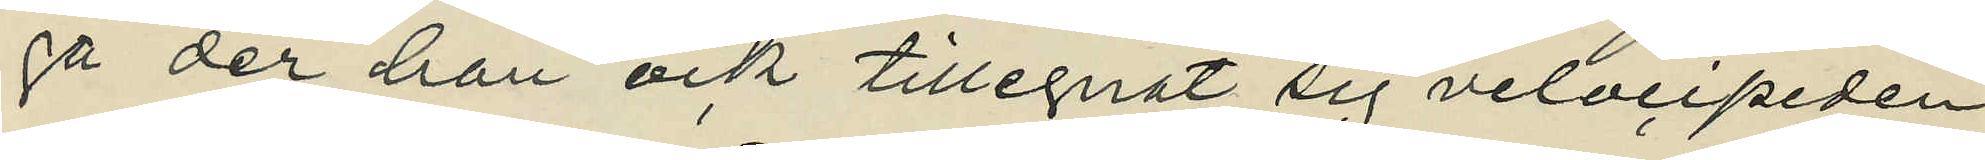ga der han ock tillegnat sig velocipeden
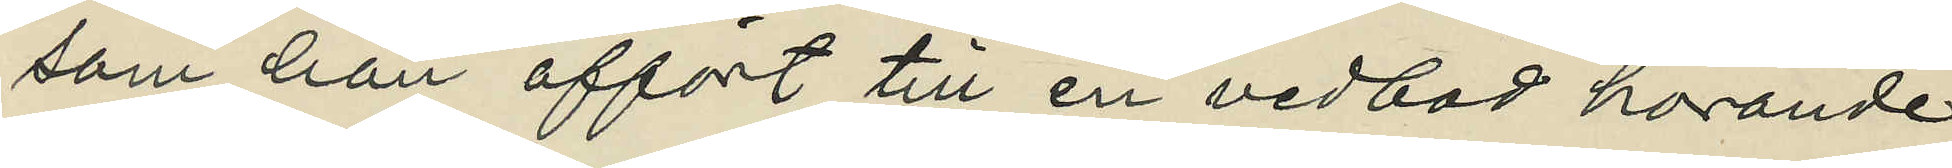som han affört till en vedbod hörande
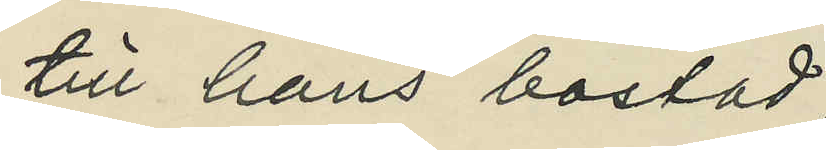till hans bostad;
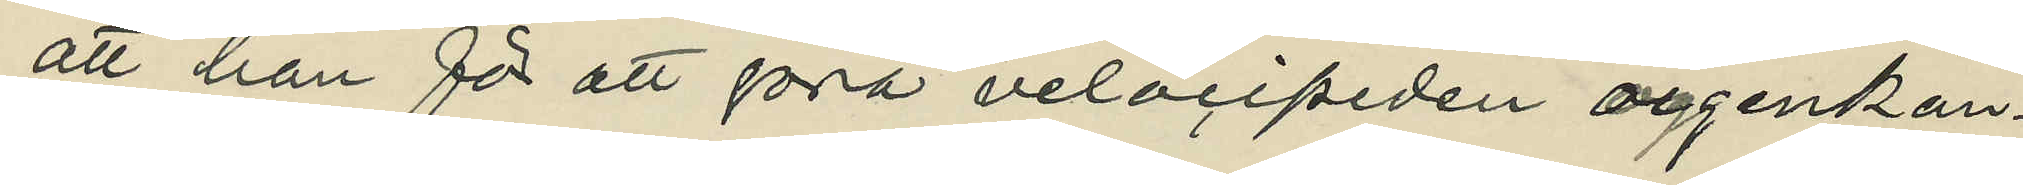att han för att göra velocipeden oigenkän¬
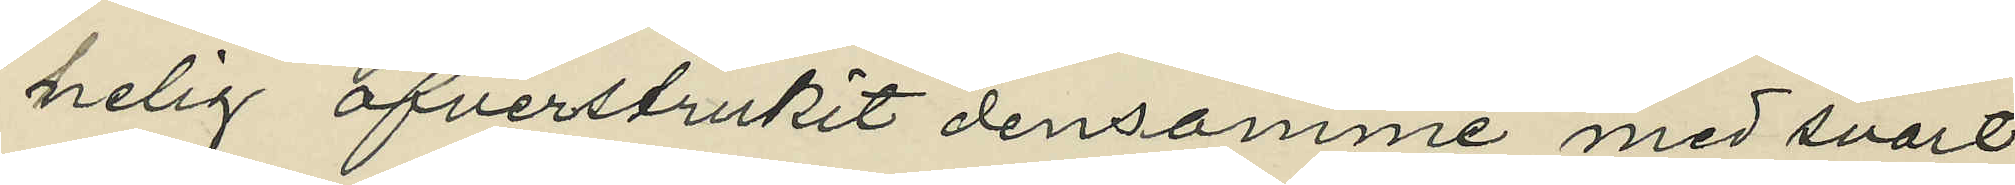nelig öfverstrukit densamme med svart
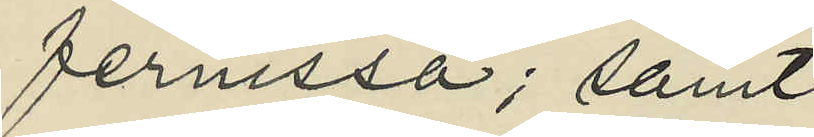fernissa; samt
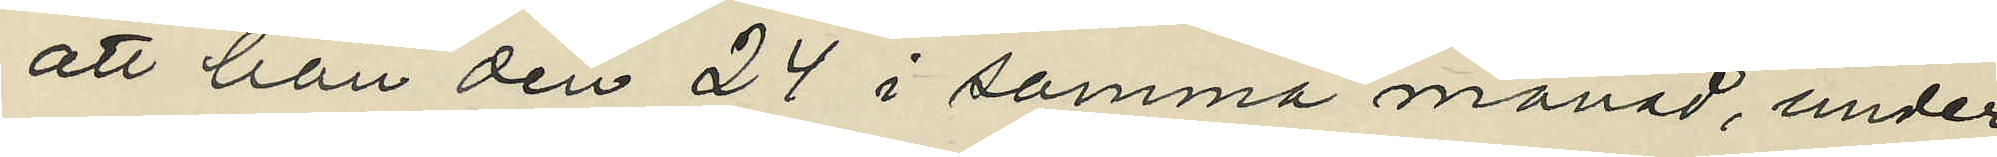att han den 24 i samma månad, under
